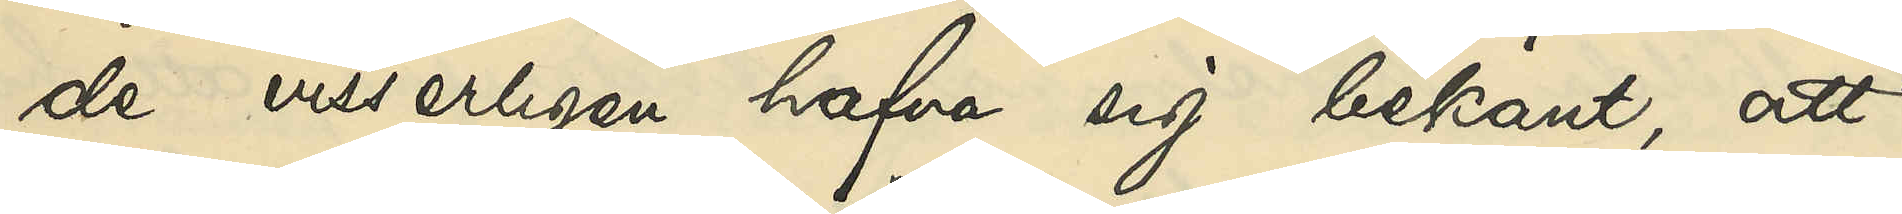de visserligen hafva sig bekant, att
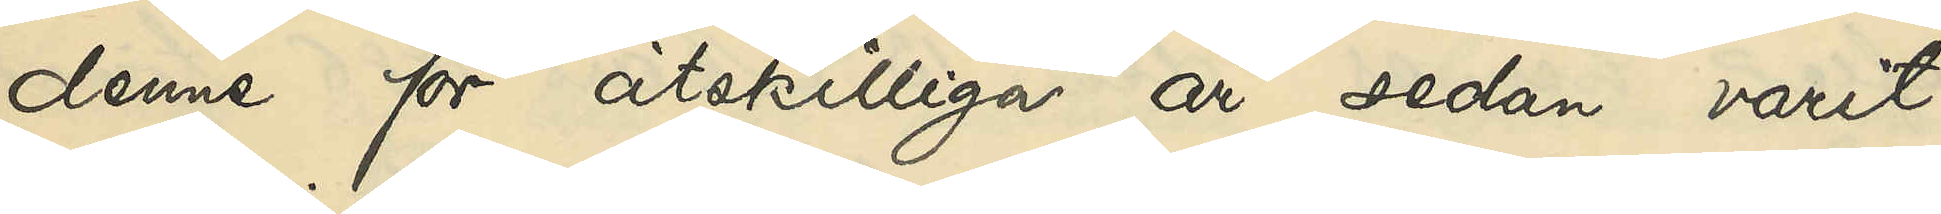denne för åtskilliga år sedan varit
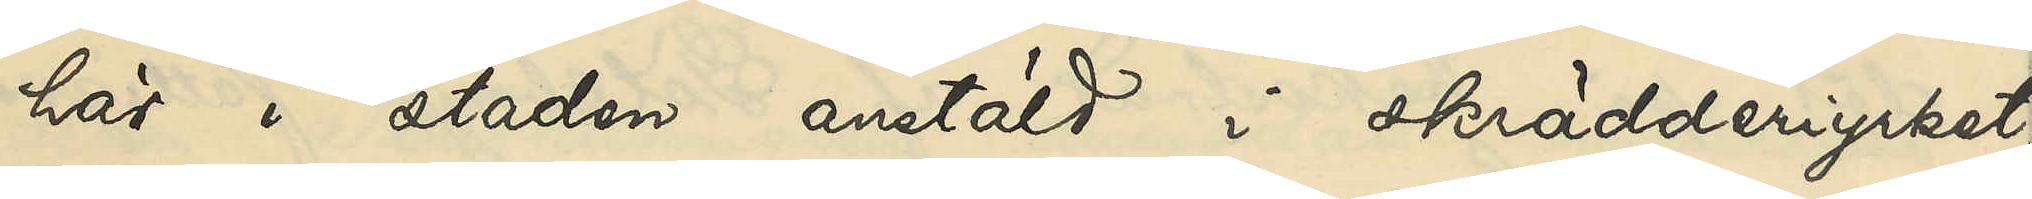här i staden anstäld i skrädderyrket;
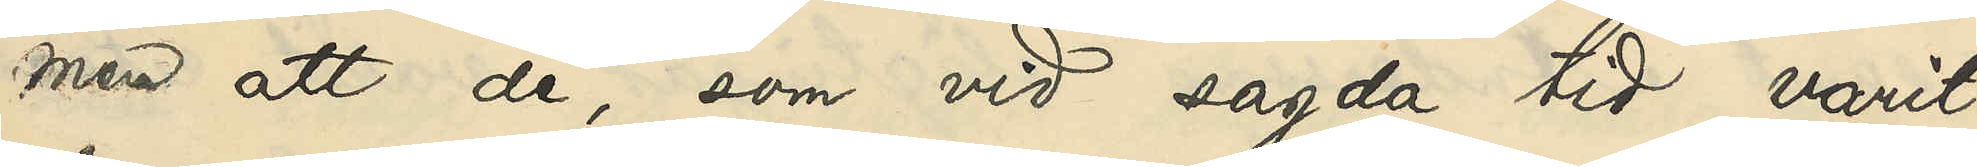men att de, som vid sagda tid varit
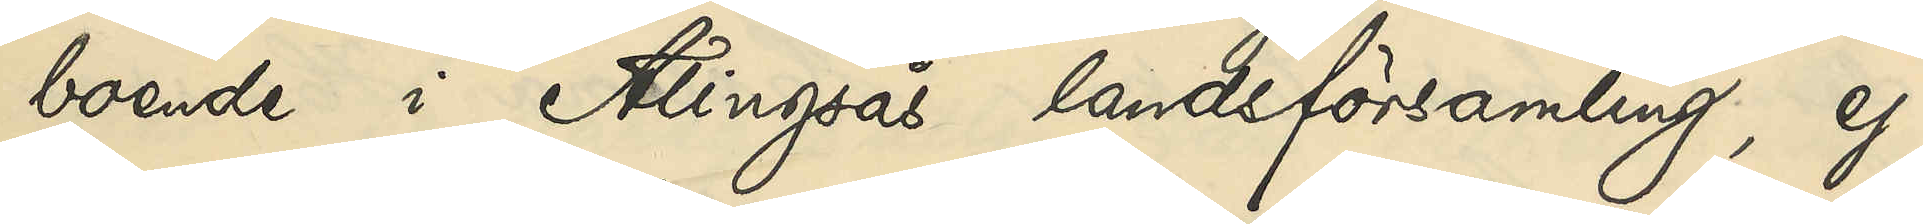boende i Alingsås landsförsamling, ej
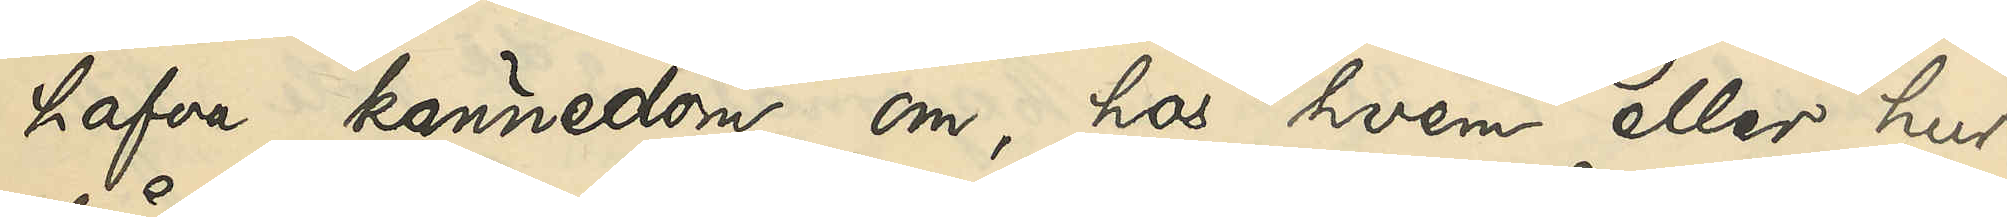hafva kännedom om, hos hvem eller hur
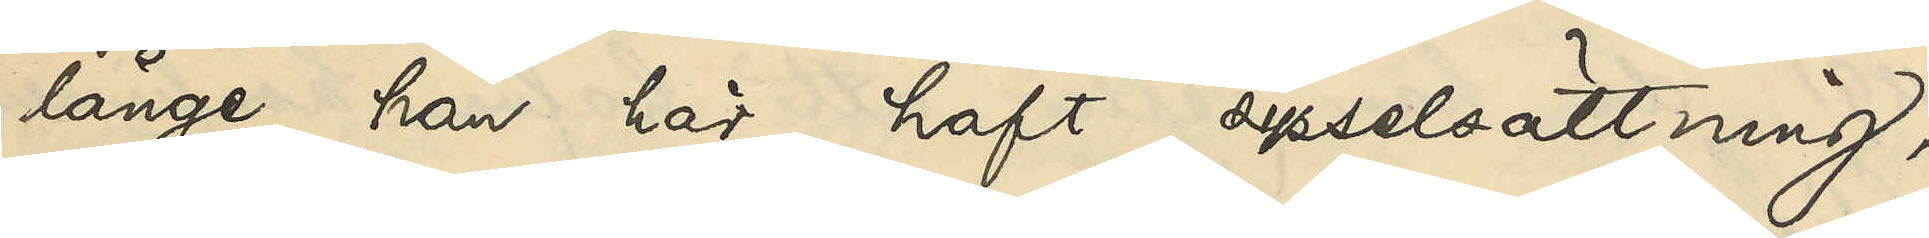länge han här haft sysselsättning,
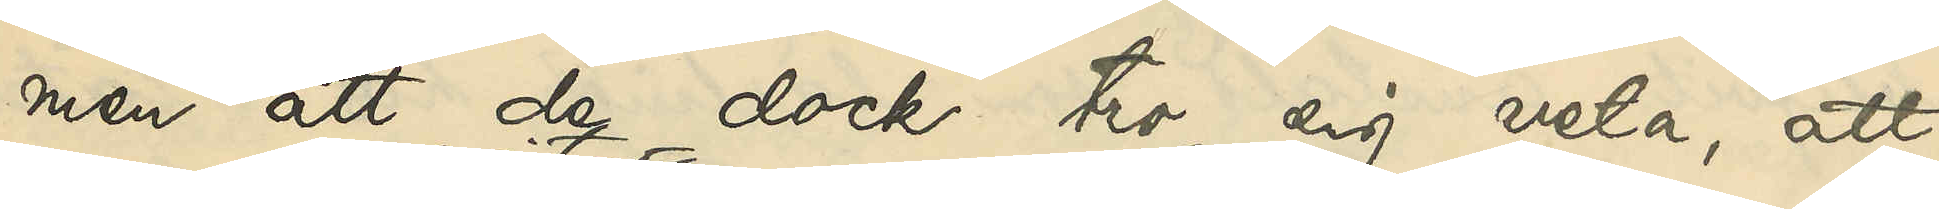men att de dock tro sig veta, att
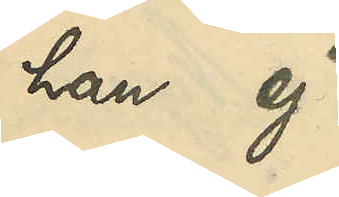han ej
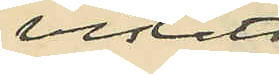vistats
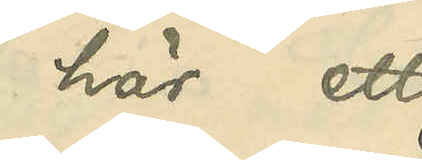här ett
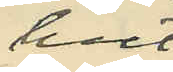helt
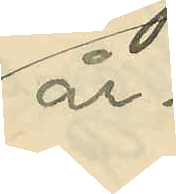år.
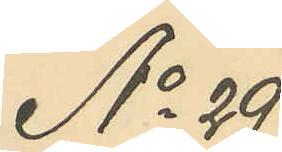No 29
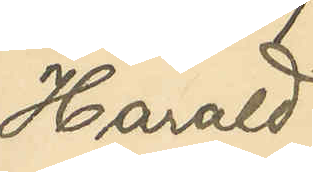Harald
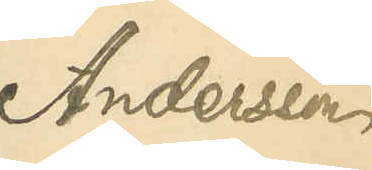Andersson
